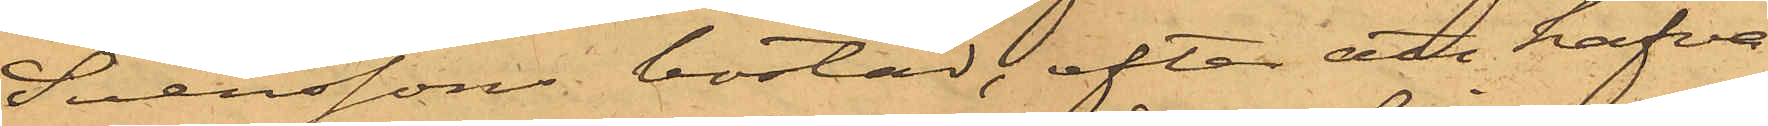Svenssons bostad, efter att hafva
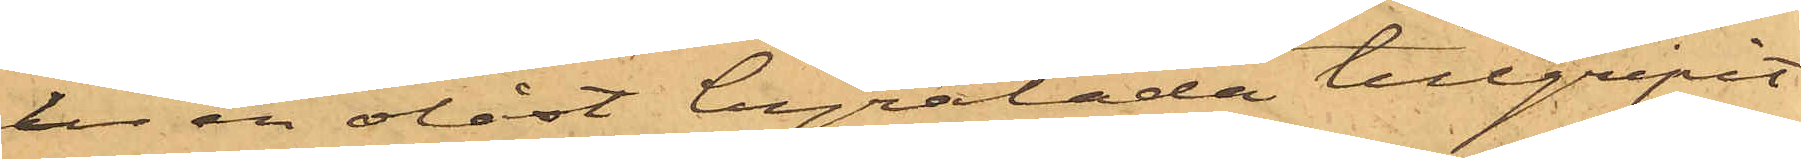ur en olåst byrålåda tillgripit
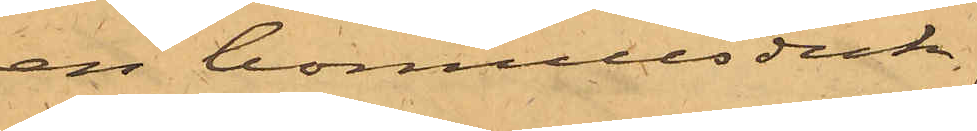en bomullsduk.
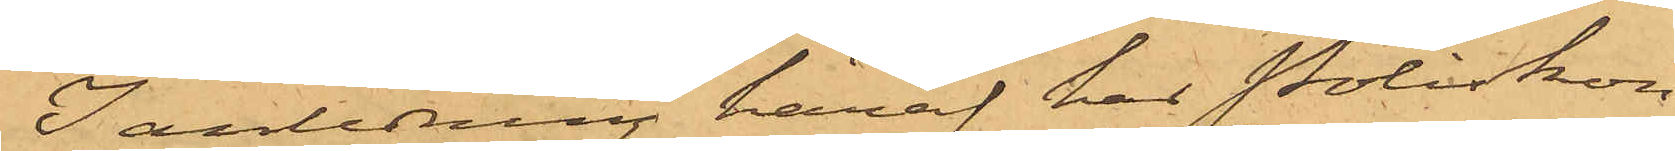I anledning häraf har Poliskon¬
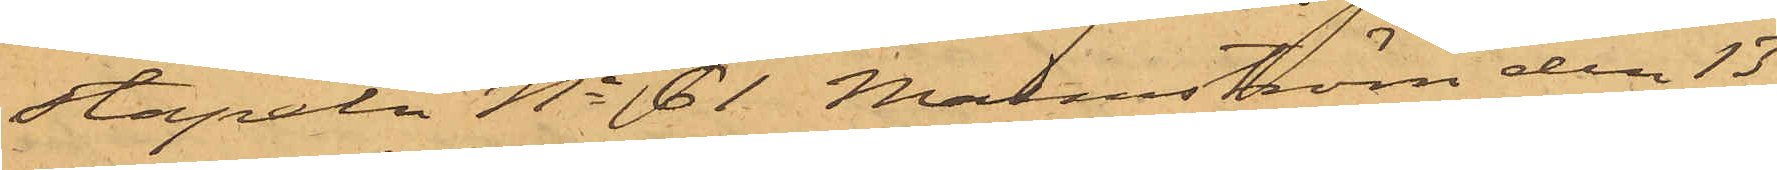stapeln No 61 Malmström den 13
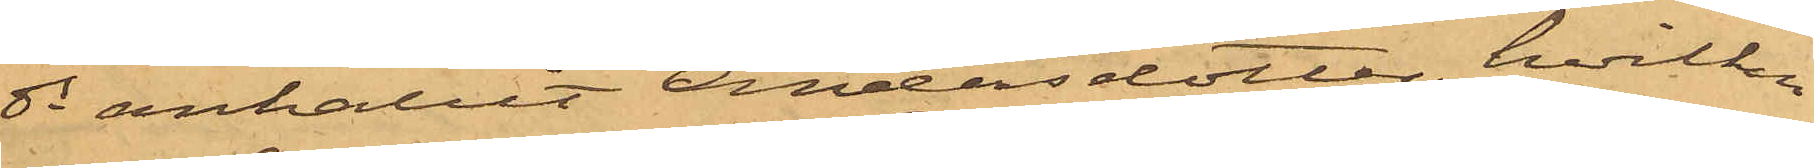ds anhållit Andersdotter, hvilken
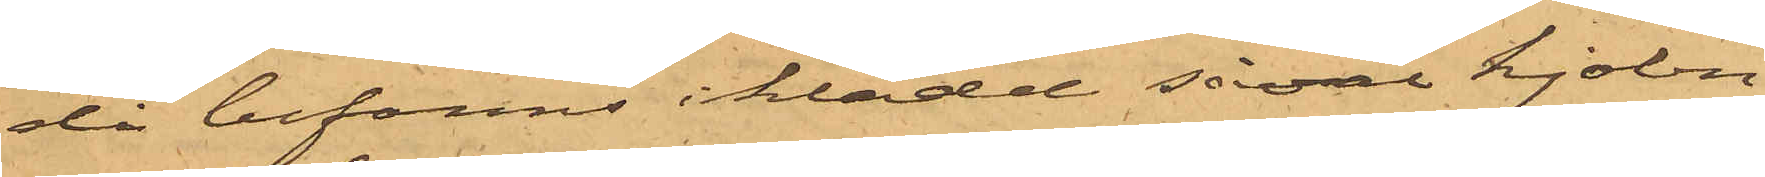då befanns iklädd såväl kjolen
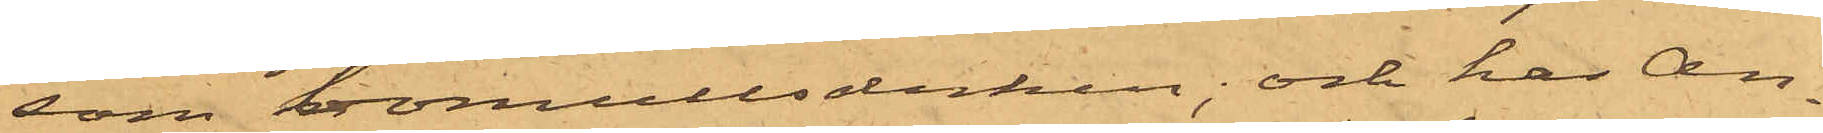som bomullsduken; och har An¬
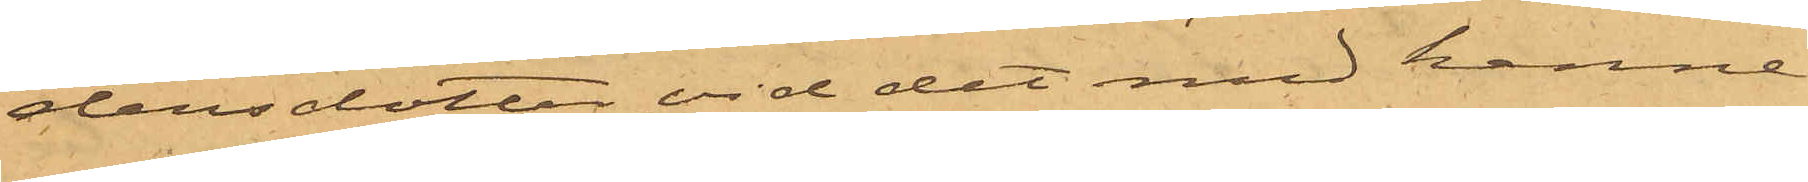dersdotter vid det med henne
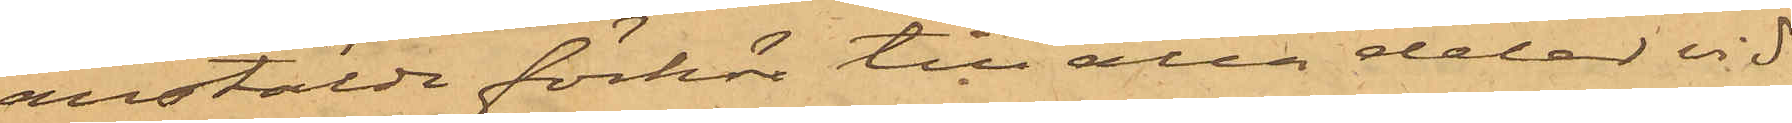anstälde förhör till alla delar vid¬
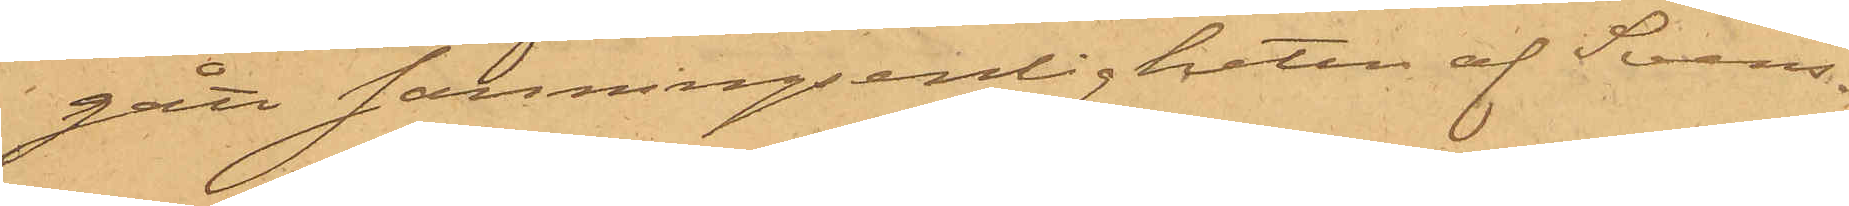gått sanningsenligheten af Svens¬
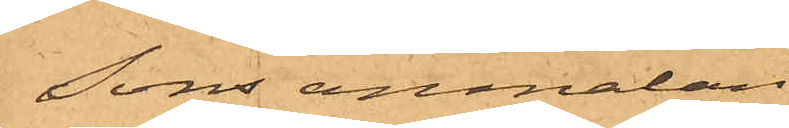sons anmälan.
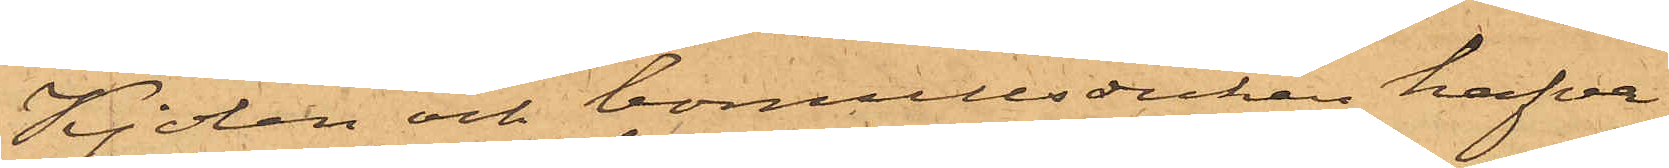Kjolen och bomullsduken hafva
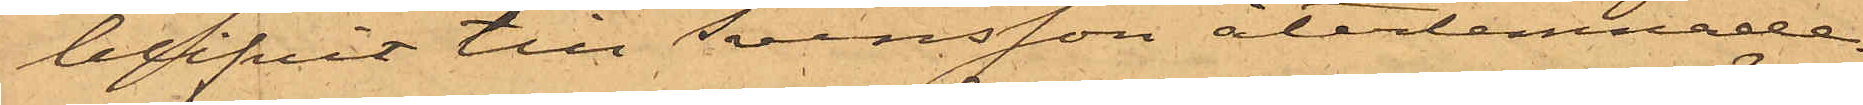blifvit till Svensson återlemnade.
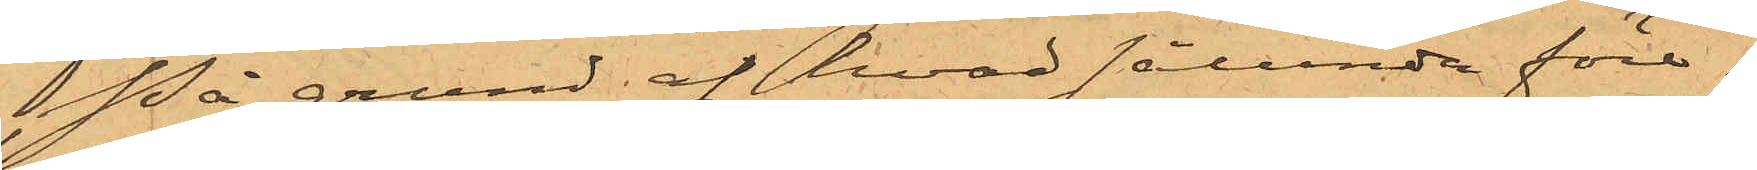På grund af hvad sålunda före¬
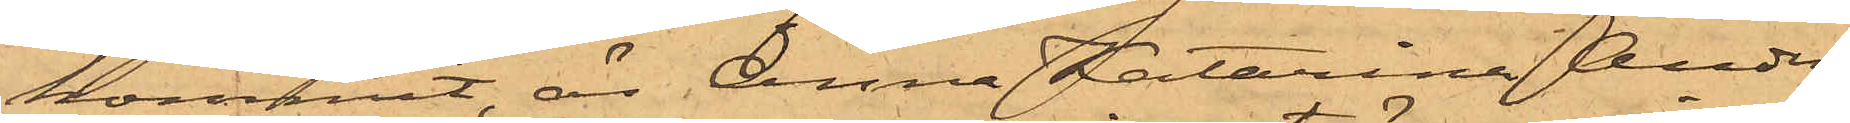kommit, är Anna Katarina Anders¬
